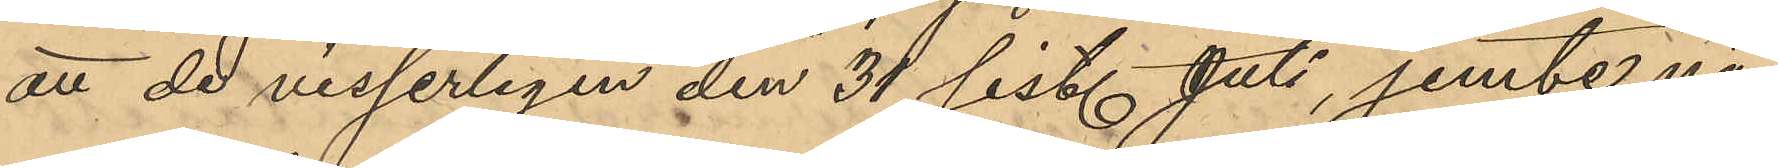att de visserligen den 31 sist. Juli jemte nå¬
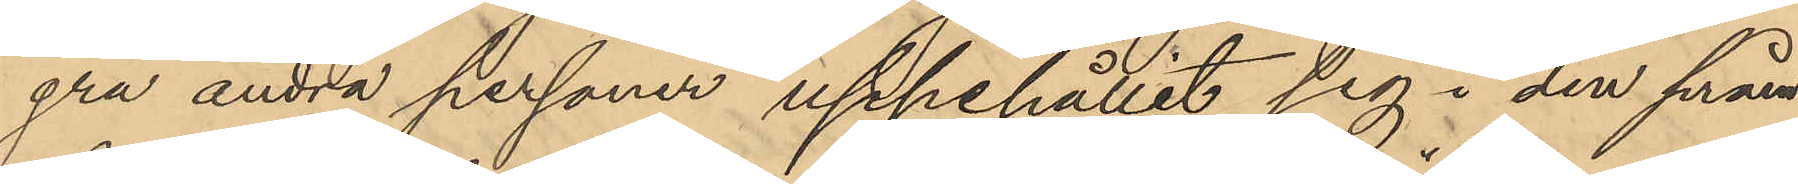gra andra personer uppehållit sig i den pråm
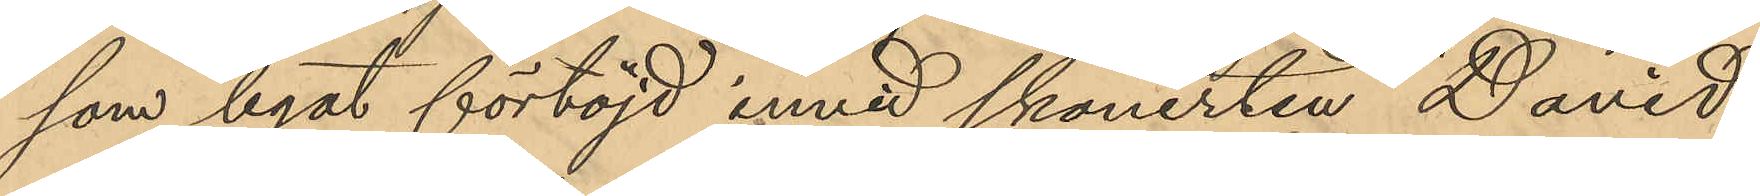som legat förtöjd invid skonerten "David",
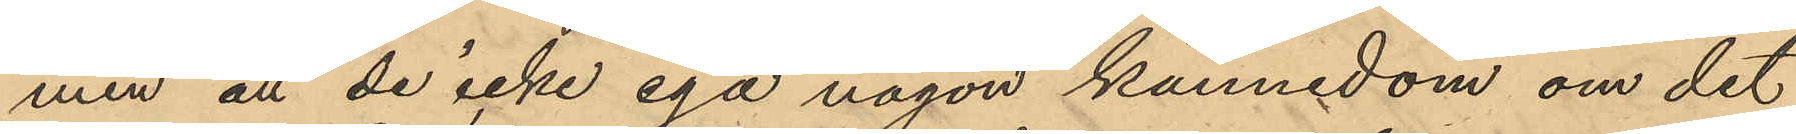men att de icke ega någon kännedom om det
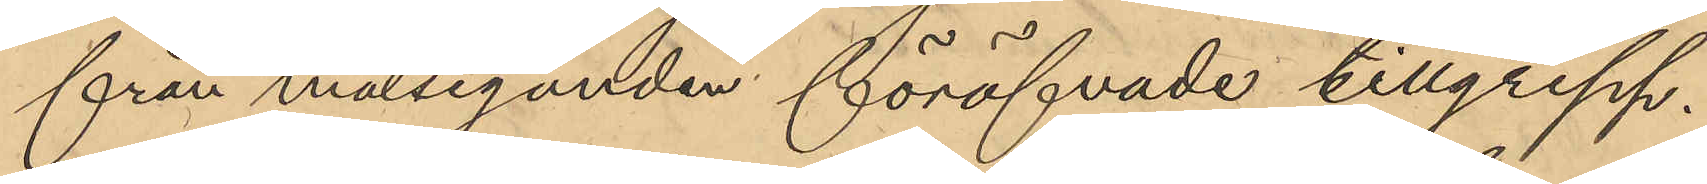från målseganden föröfvade tillgrepp.
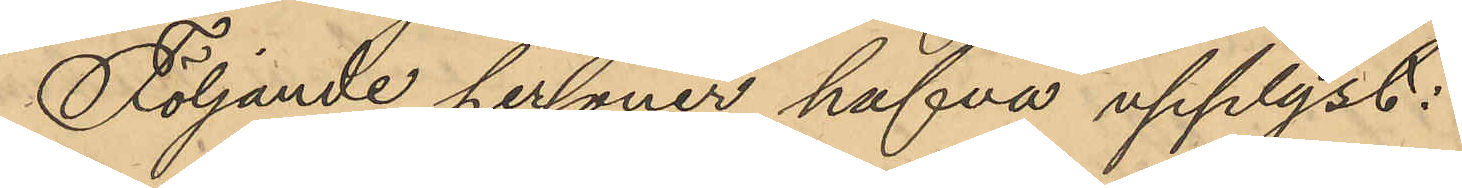Följande personer hafva upplyst:
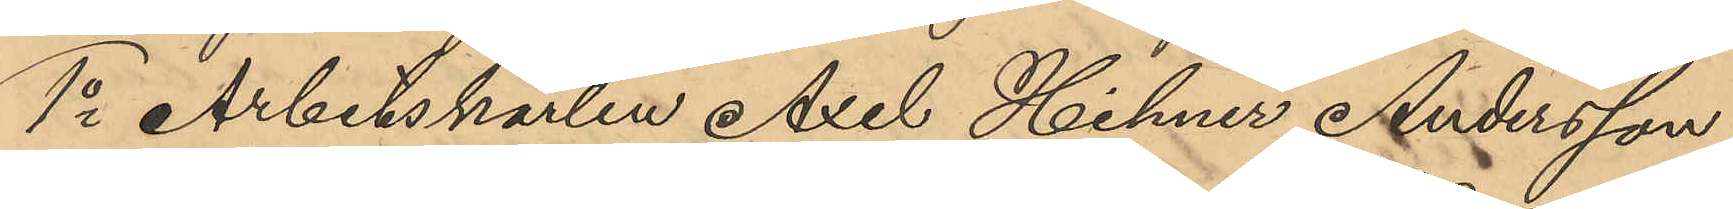1o Arbetskarlen Axel Hilmer Andersson,
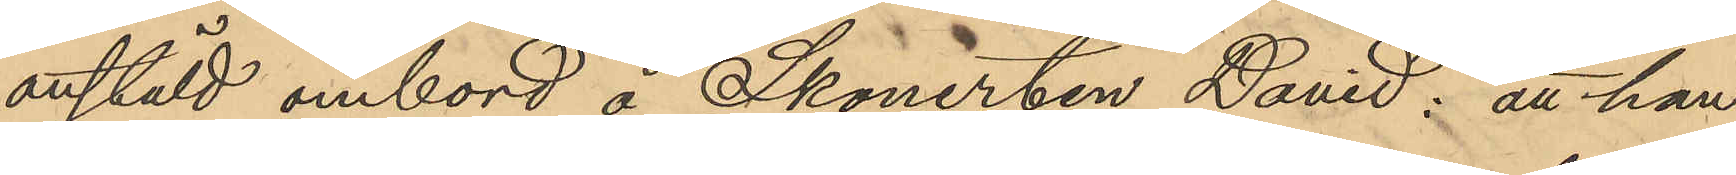anstäld ombord å Skonerten David: att han
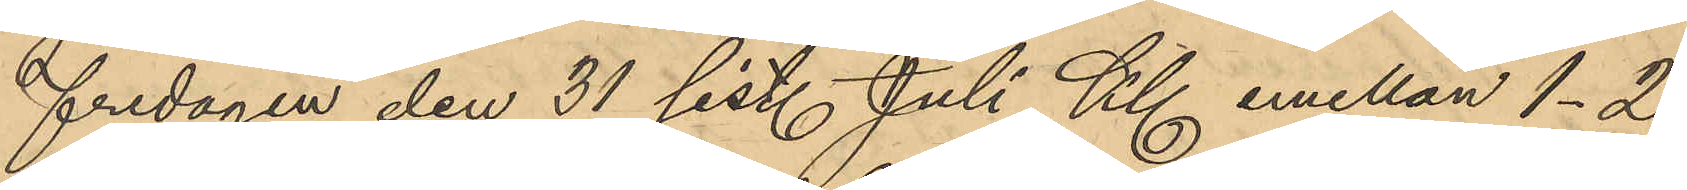fredagen den 31 sist. Juli Kl emellan 1-2
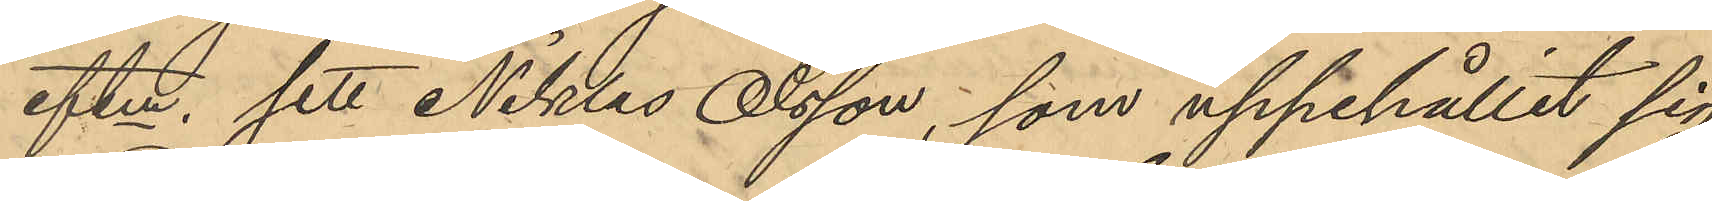eftm, sett Niklas Olsson, som uppehållit sig
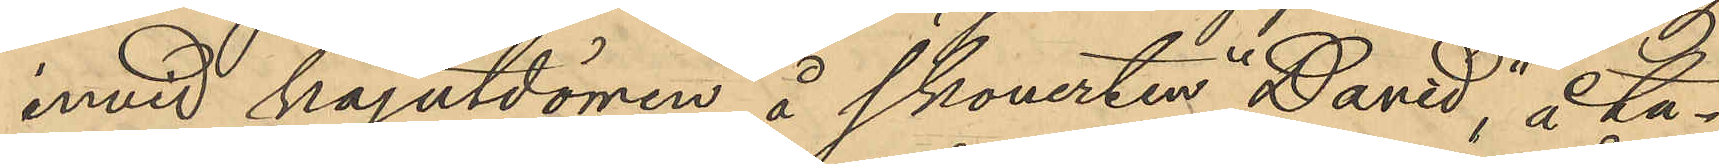invid kajutdörren å skonerten "David" å ta¬
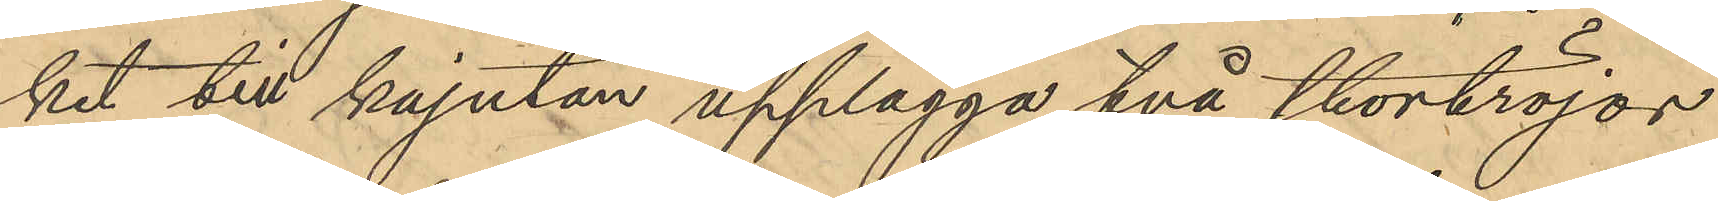ket till kajutan upplägga två stortröjor
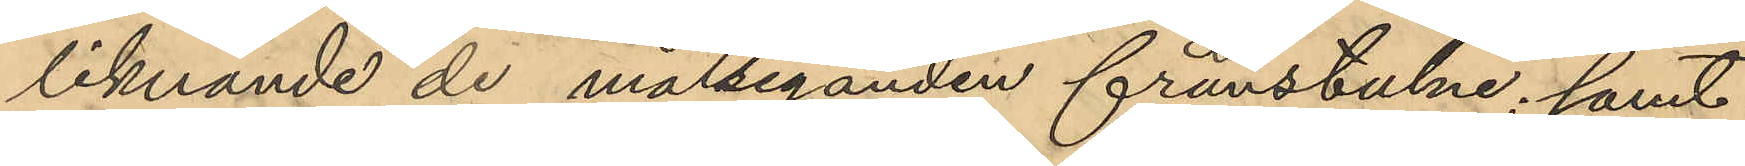liknande de målseganden frånstulne; samt
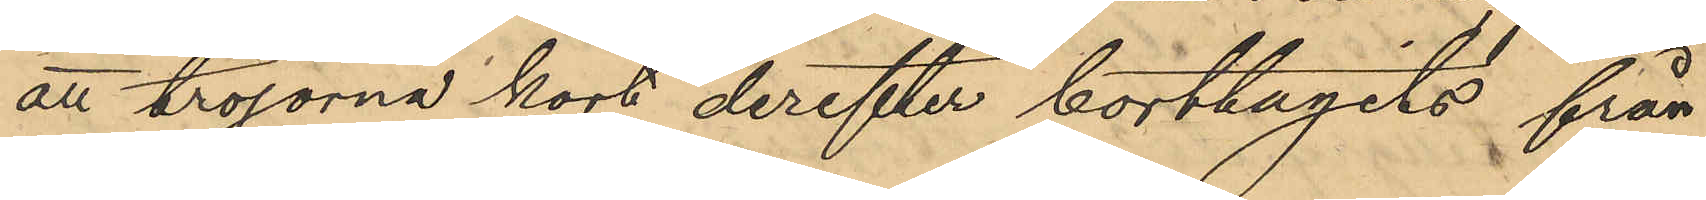att tröjorna kort derefter borttagits från
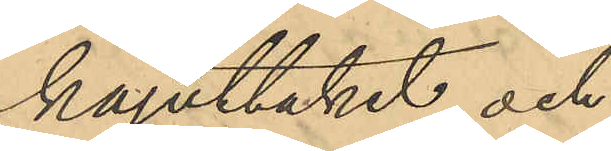kajuttaket, och
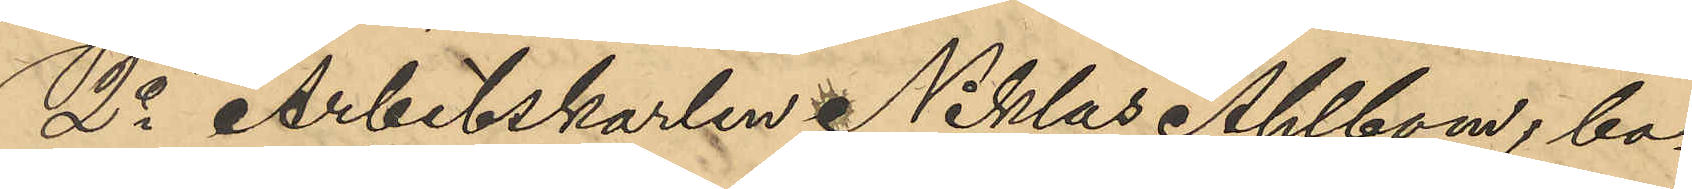2o Arbetskarlen Niklas Ahlbom, bo¬
